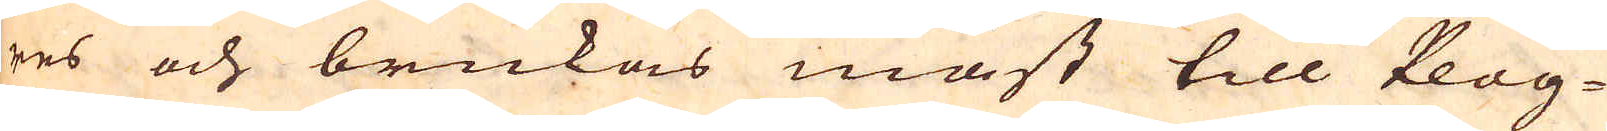res och brukas mäst till Plog-
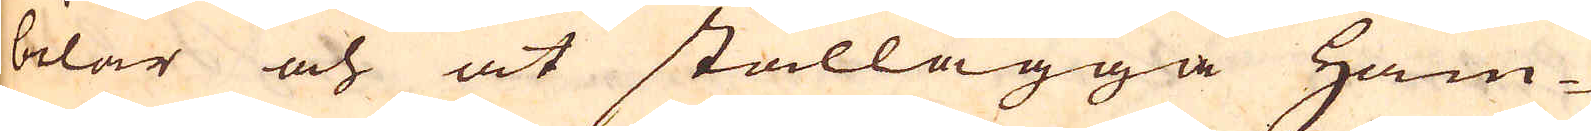bilar och at stållägga Ham-
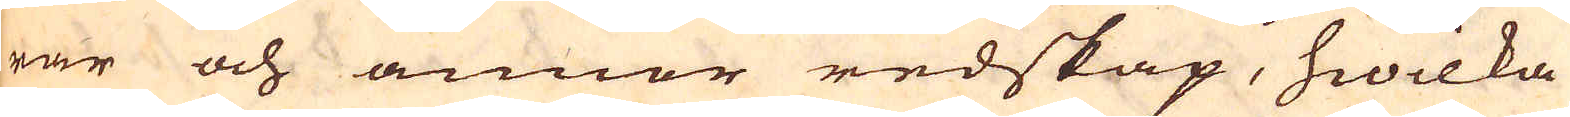rar och annor redskap, hwilka
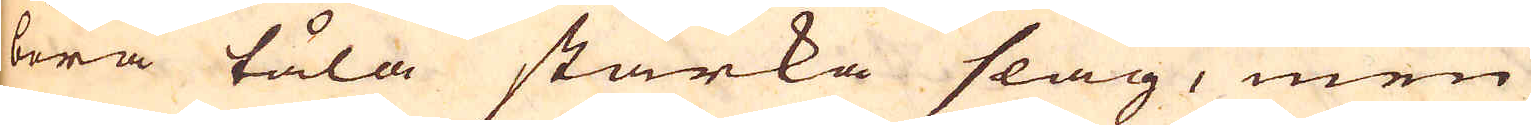böra tåla starka slag, men
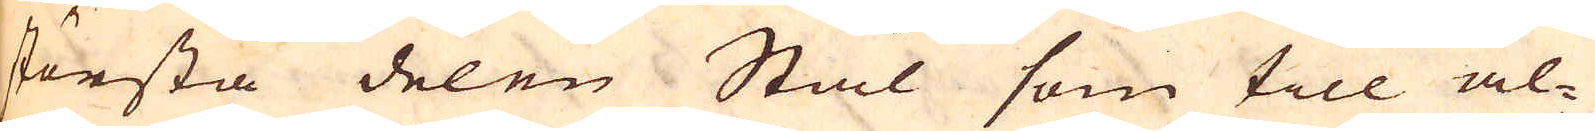största delen Stål som till al-
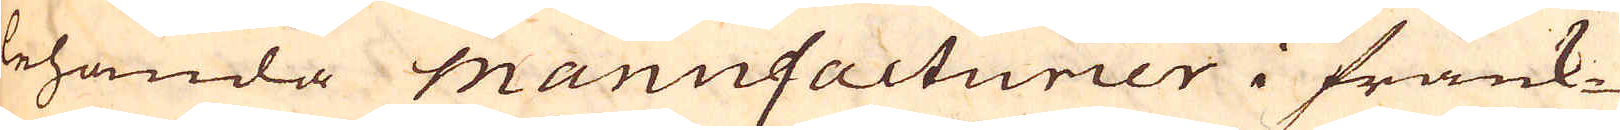lehanda Manufacturier i Frank-
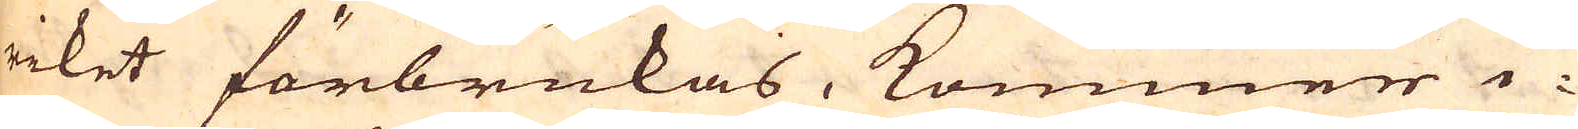riket förbrukas, kommer i-
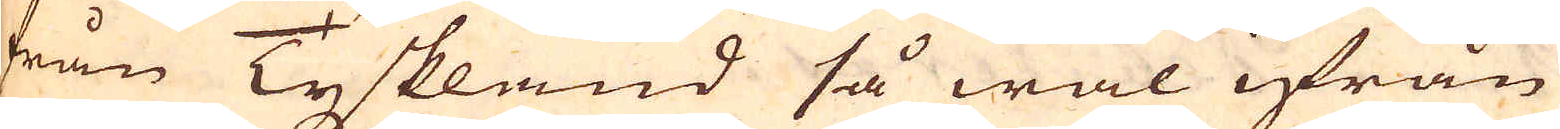från Tyskland så wäl ifrån
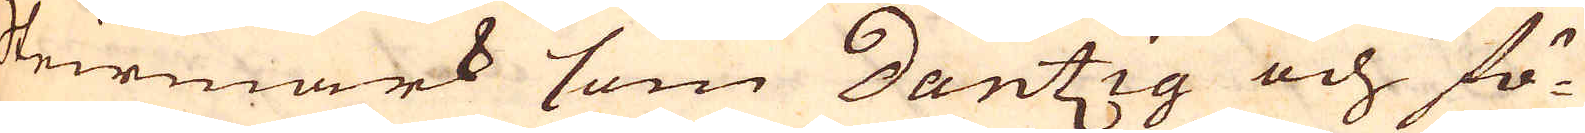Steirmark som Dantzig och fö-
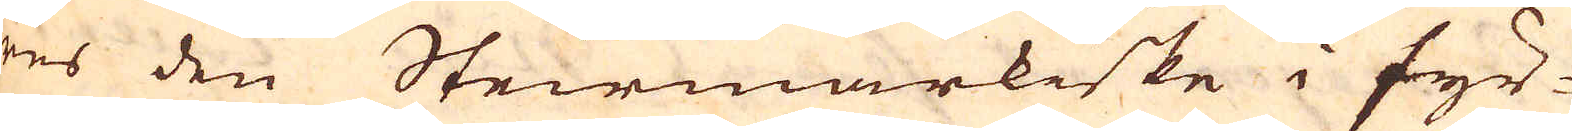res den Steirmarkiske i fyr-
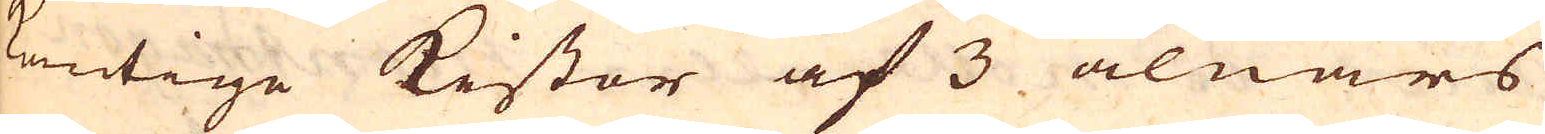kantige Kistor af 3 alnars
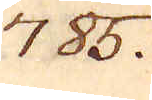785.
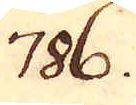786.
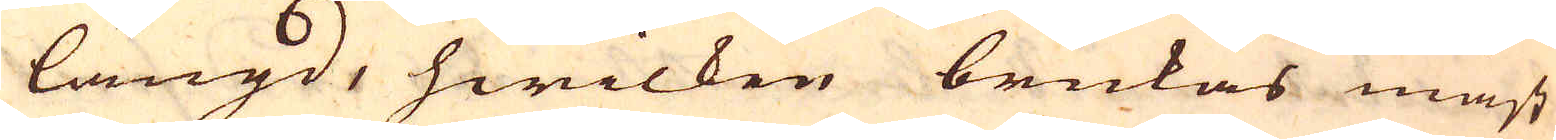längd, hwilken brukas mäst
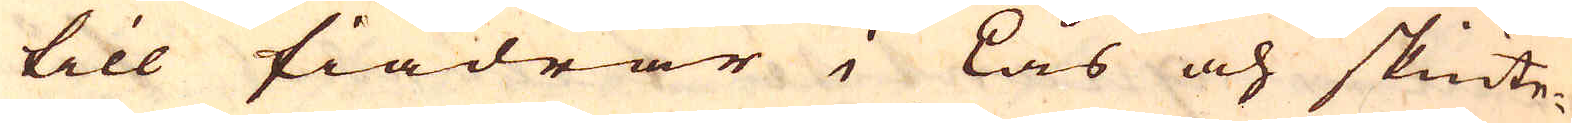till fiädrar i Lås och skiute-
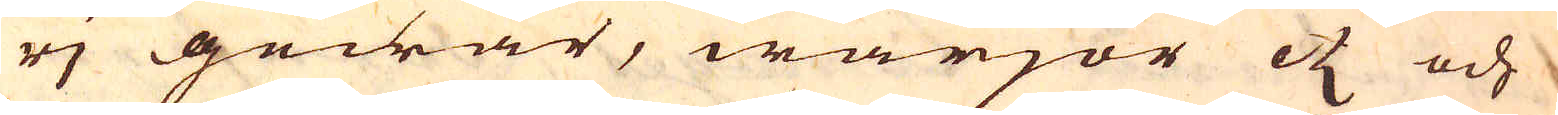rj gewär, wärjor etc och
